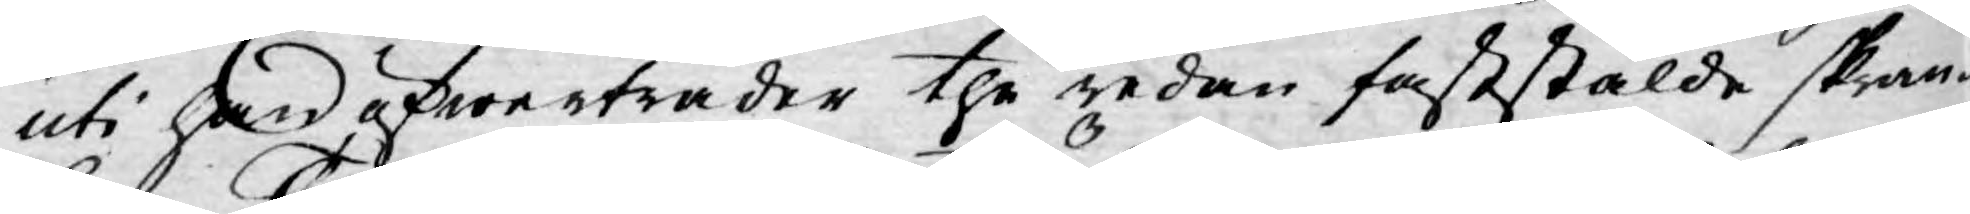uti han öfwerträder the redan faststälde skran¬
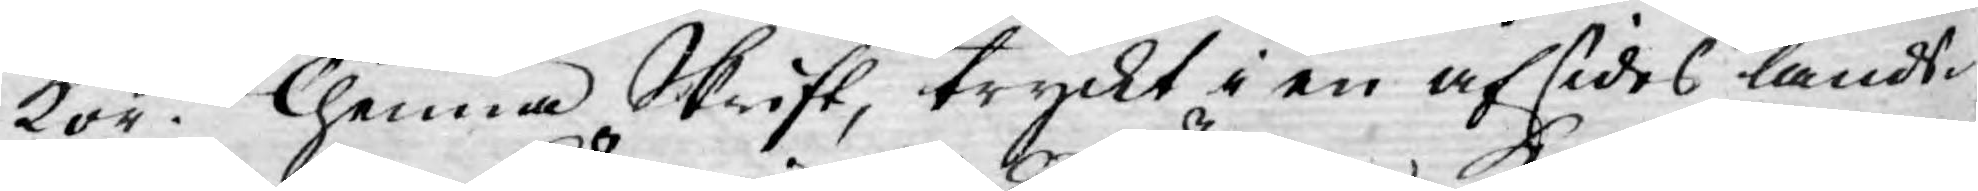kor. Thenna Skrift, tryckt i en afsides lands¬
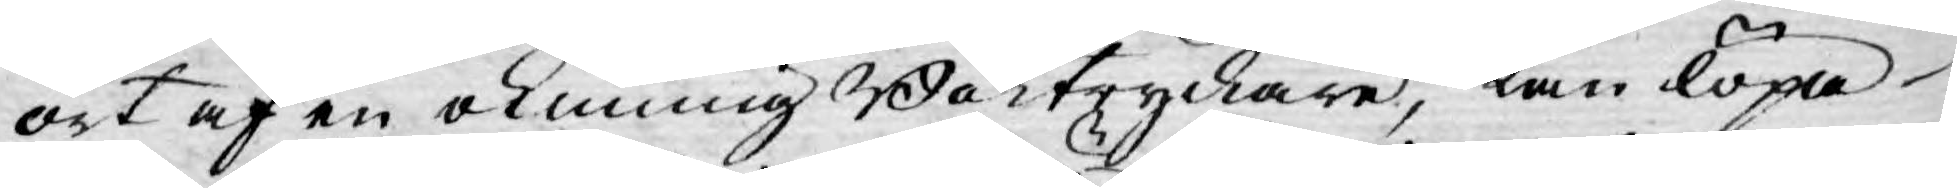ort af en okunning Boktryckare, kan löpa
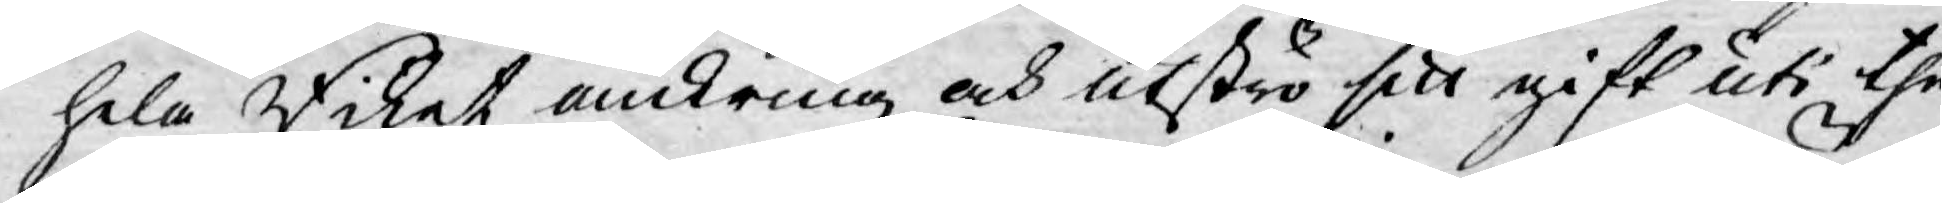hela Riket omkring och utströ sitt gift uti the
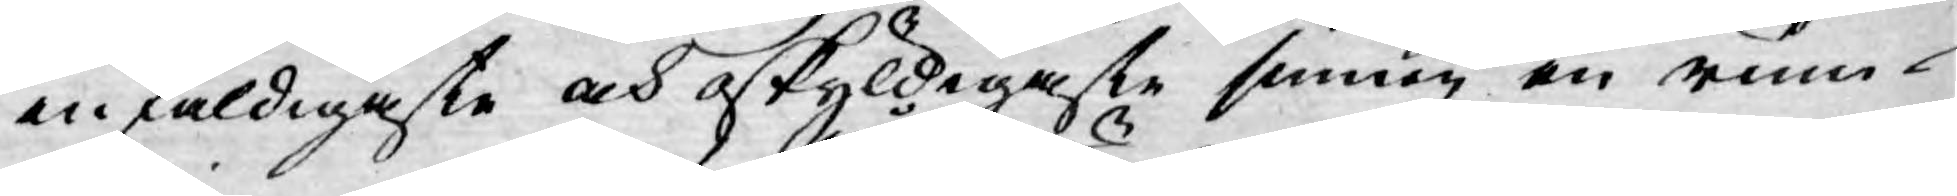enfaldigaste och oskyldigaste sinnen en rum¬
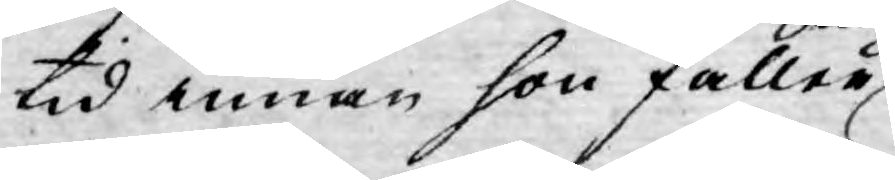tid innan hon faller
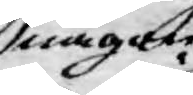någon
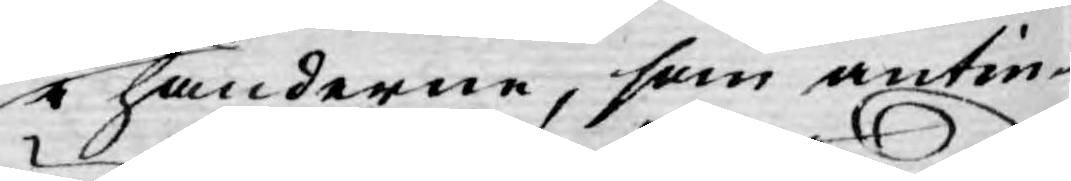i händerne, som antin¬
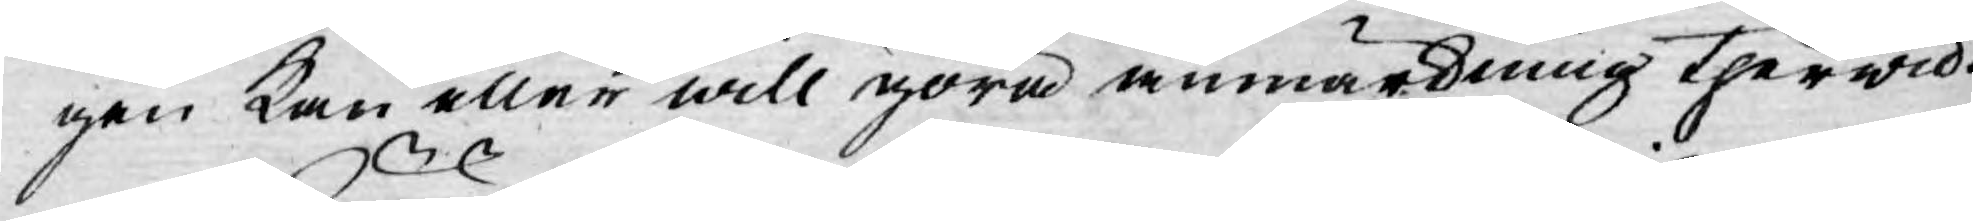gen kan eller will göra anmärkning therwid.
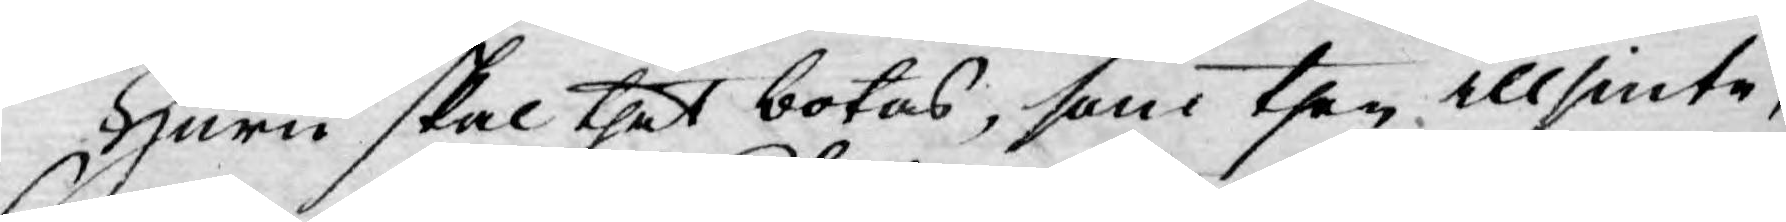Huru skal thet botas, som then illsinte,
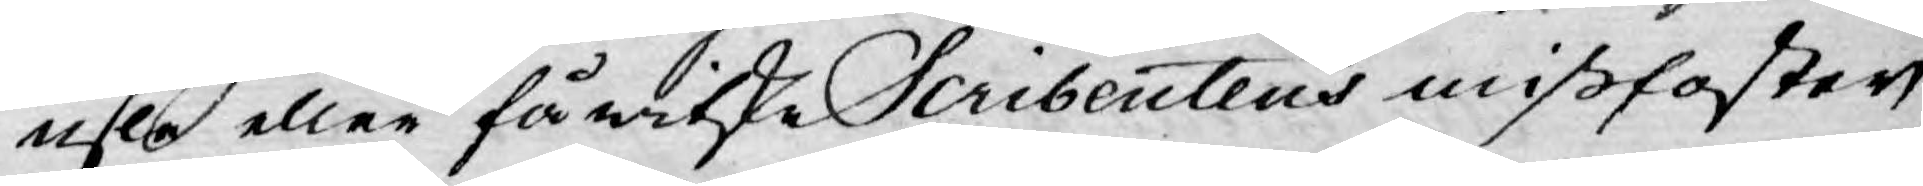usle eller fåwitske Scribentens mißfoster
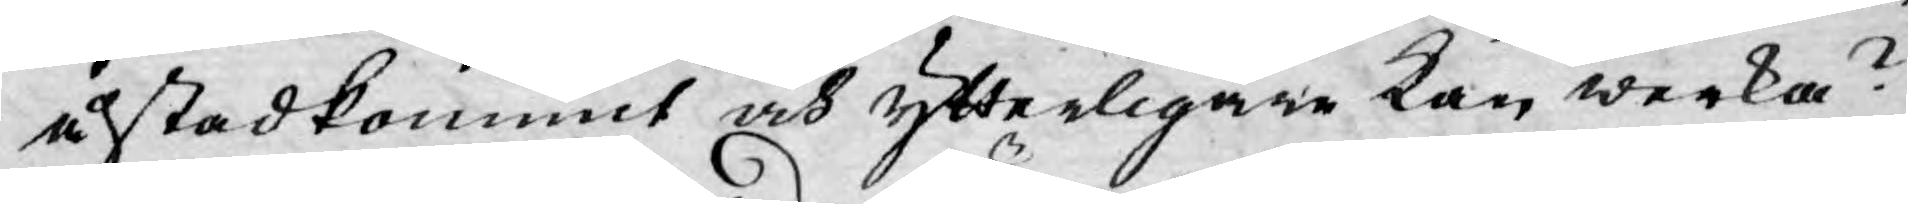åstadkommit och ytterligare kan werka?
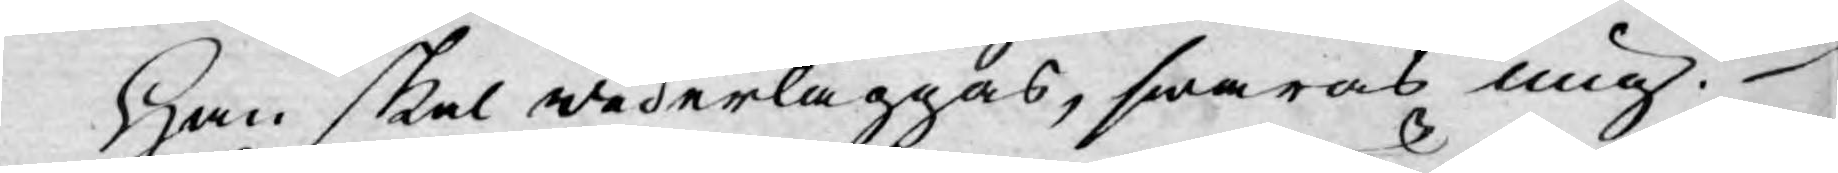Han skal wederläggas, swaras mig.
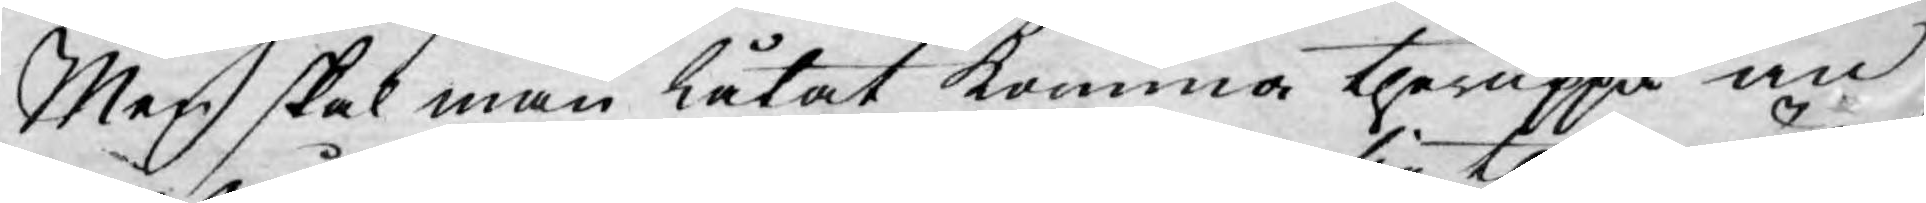Men skal man låtat komma theruppå en
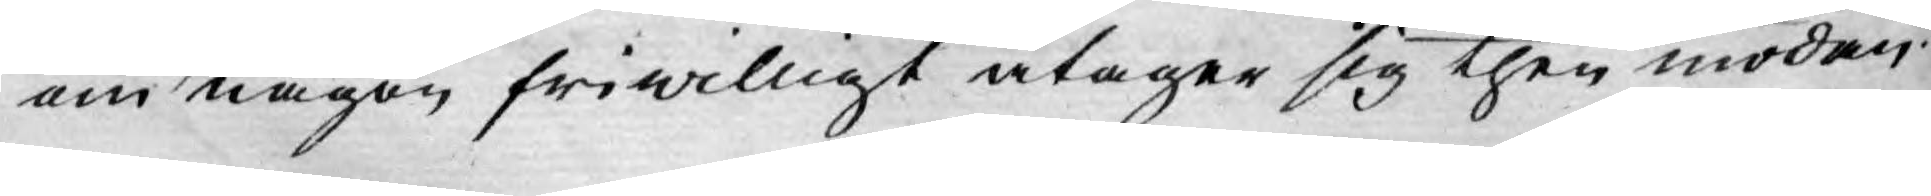om någon friwilligt åtager sig then mödan?
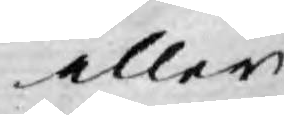eller
